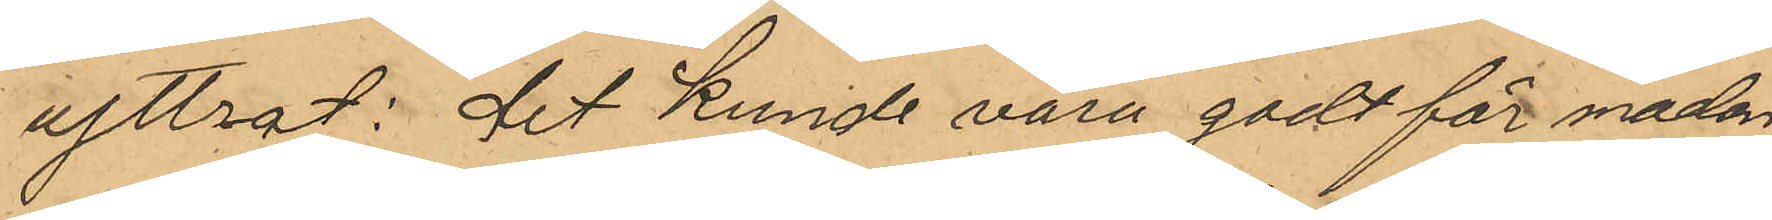yttrat: det kunde vara godt för maken
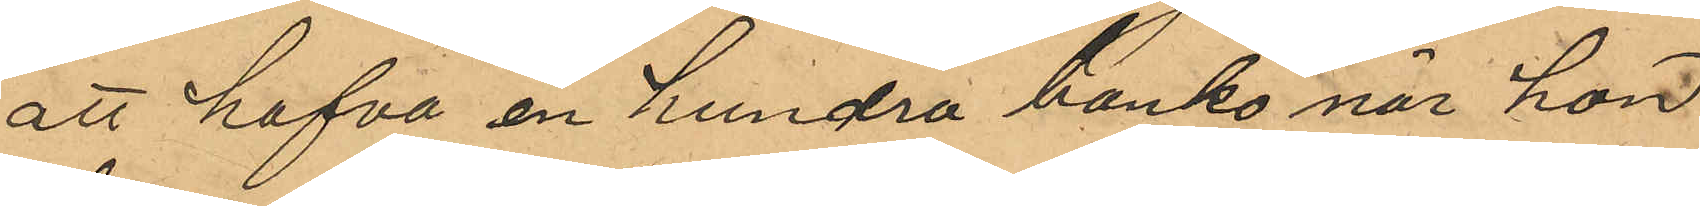att hafva en hundra banko när hon
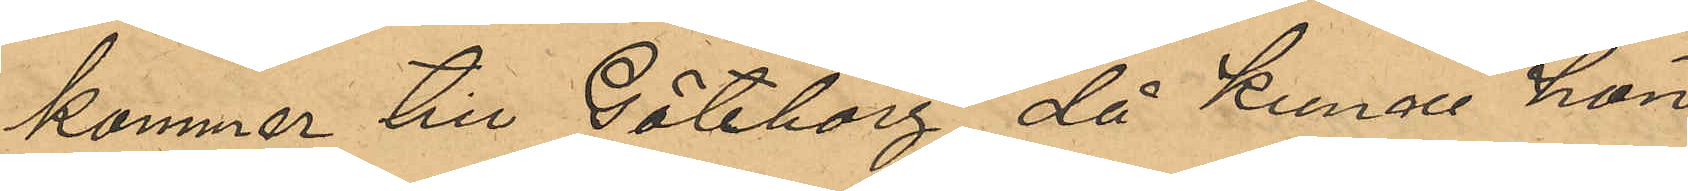kommer till Göteborg, då kunne hon
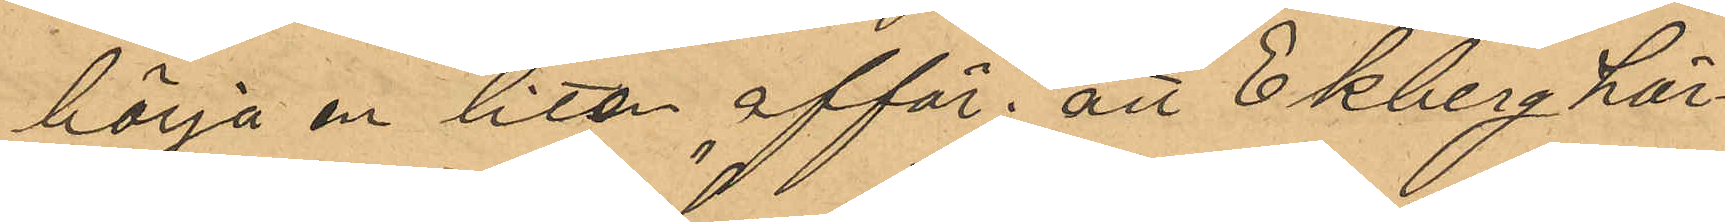börja en liten affär"; att Ekberg här¬
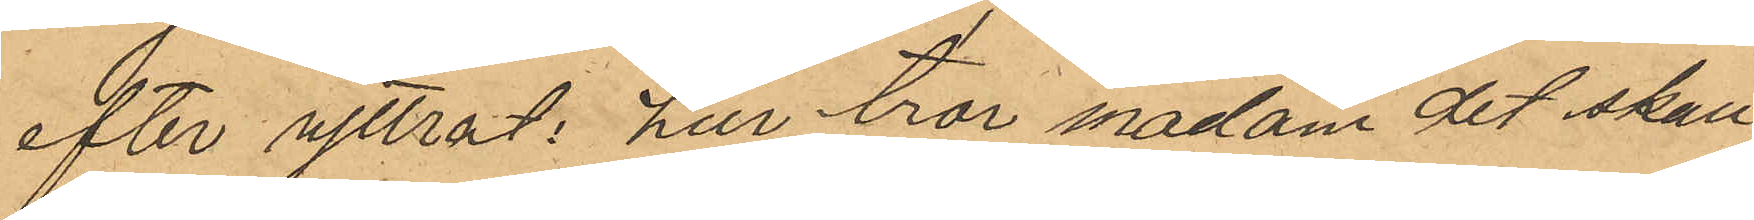efter yttrat: "hur tror madam det skall
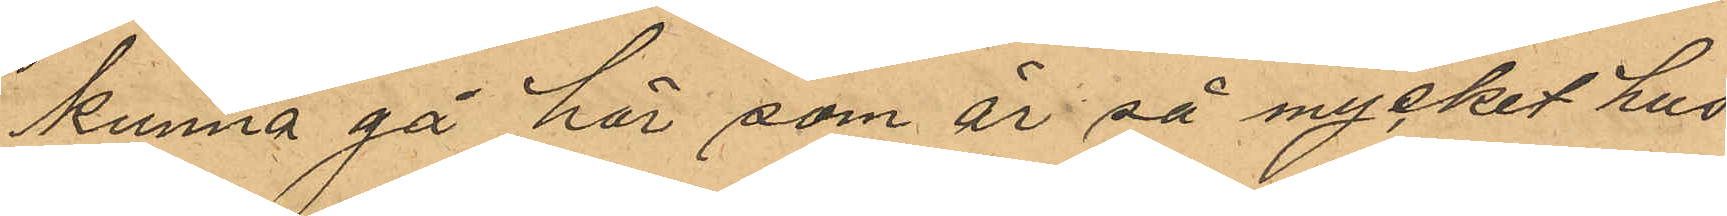kunna gå här, som är så mycket hus
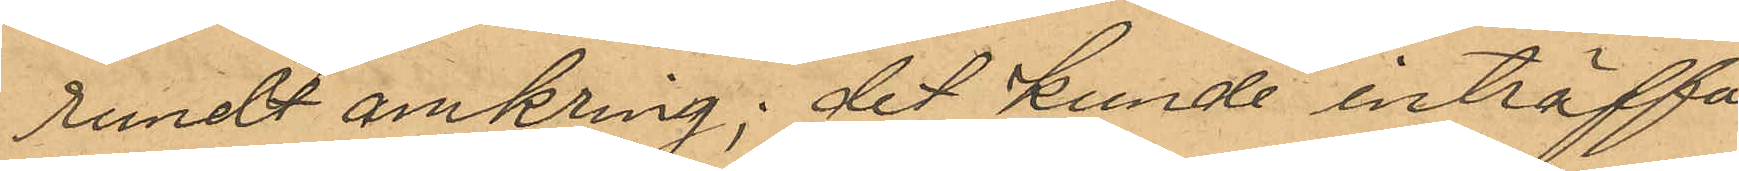rundt omkring; det kunde inträffa
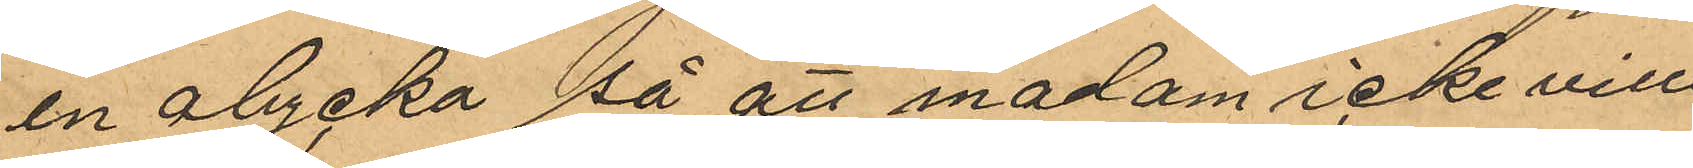en olycka så att madam icke ville
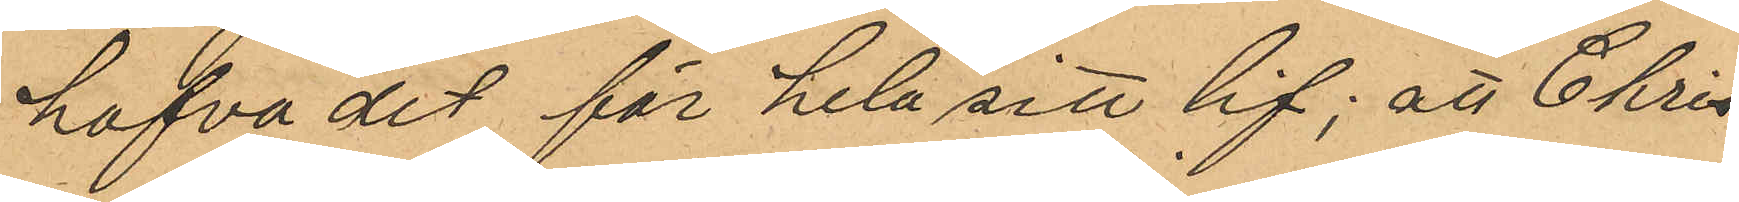hafva det för hela sitt lif; att Chri¬
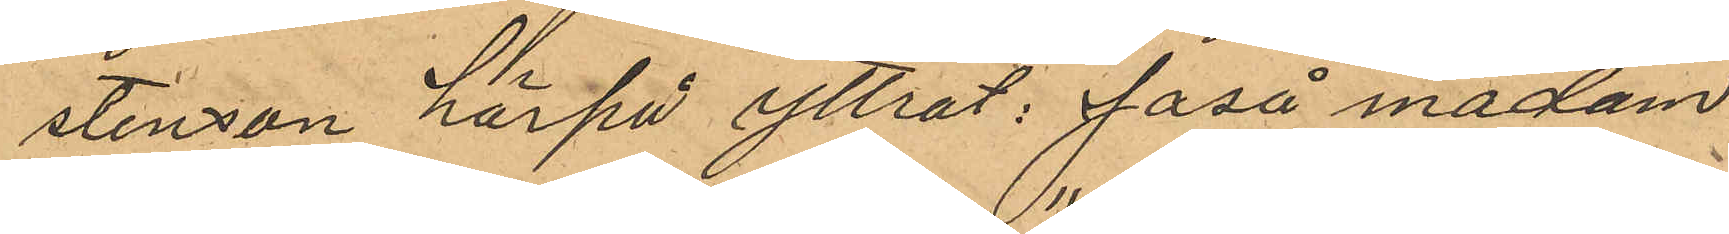stensson härpå yttrat, "Jaså madam
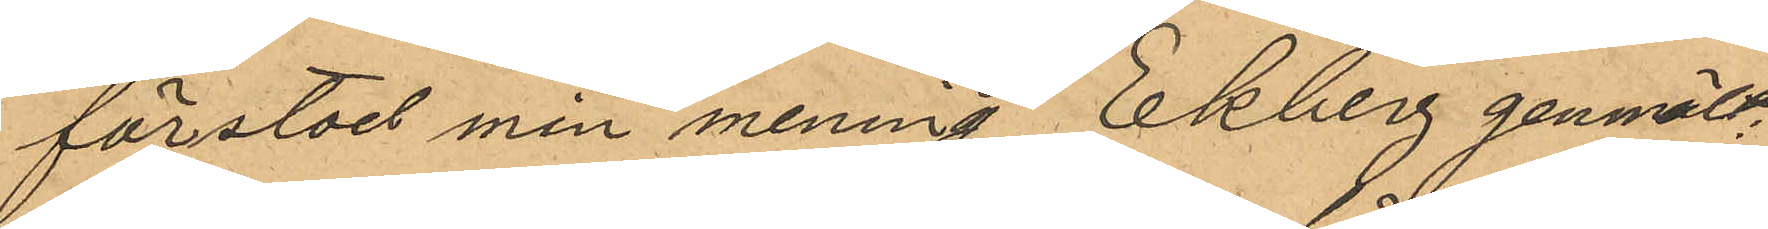förstod min mening", Ekberg genmält
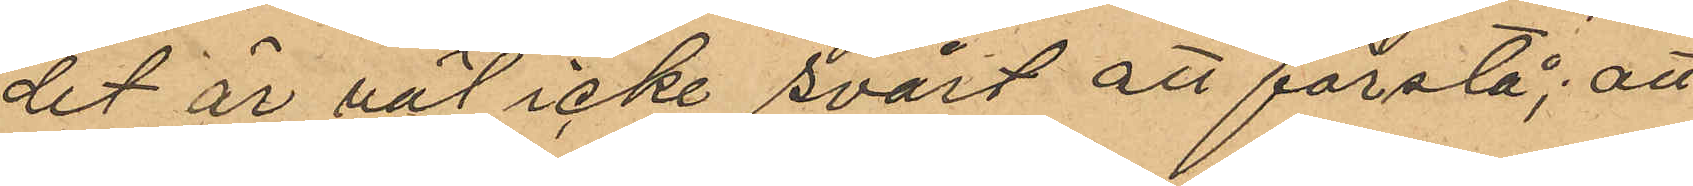det är väl icke svårt att förstå"; att
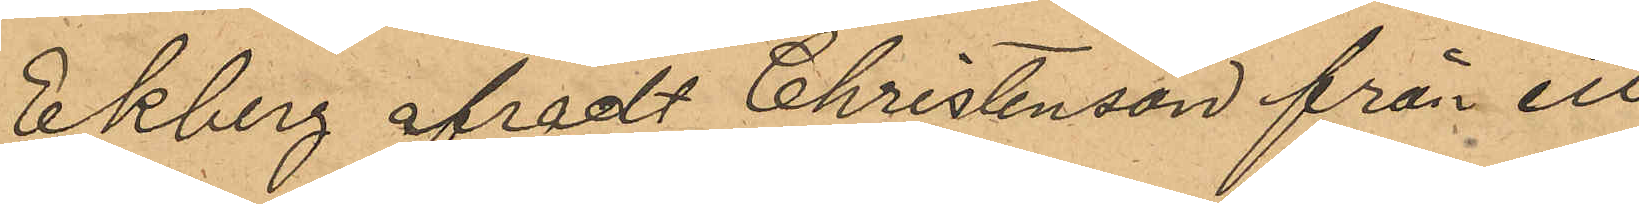Ekberg afradt Christensson från ett
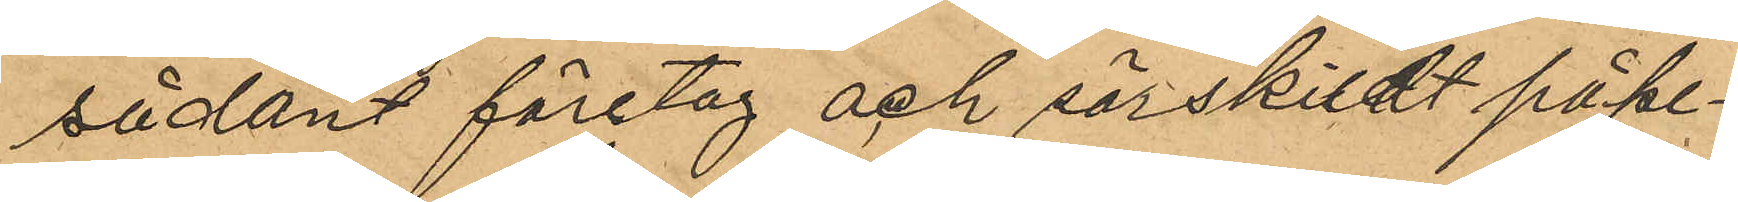sådant företag och särskildt påpe¬
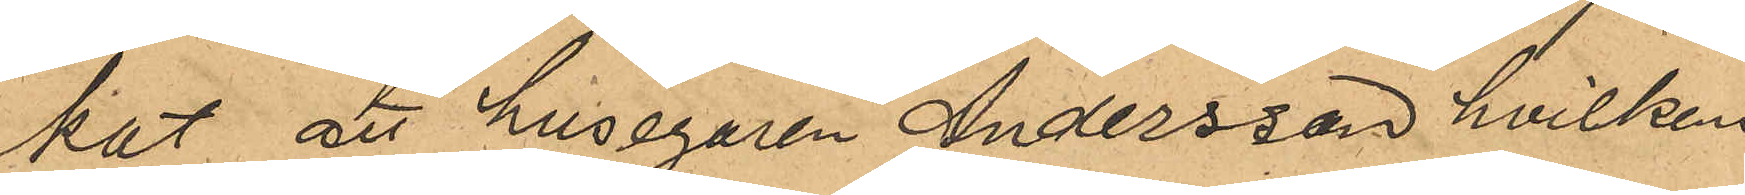kat att husegaren Andersson hvilkens
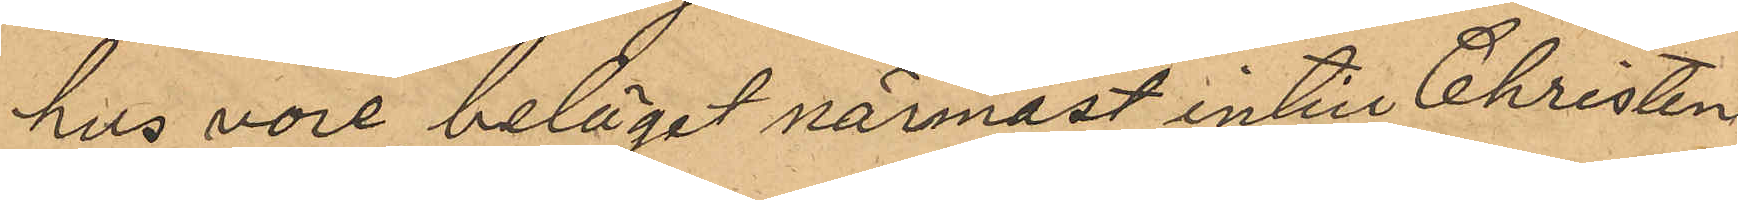hus vore beläget närmast intill Christen¬
